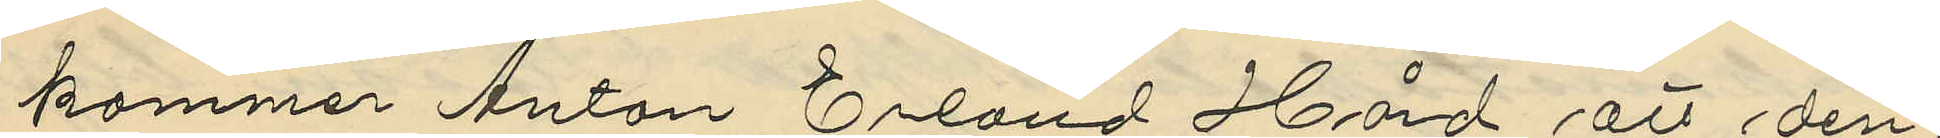kommer Anton Erland Hård att den¬
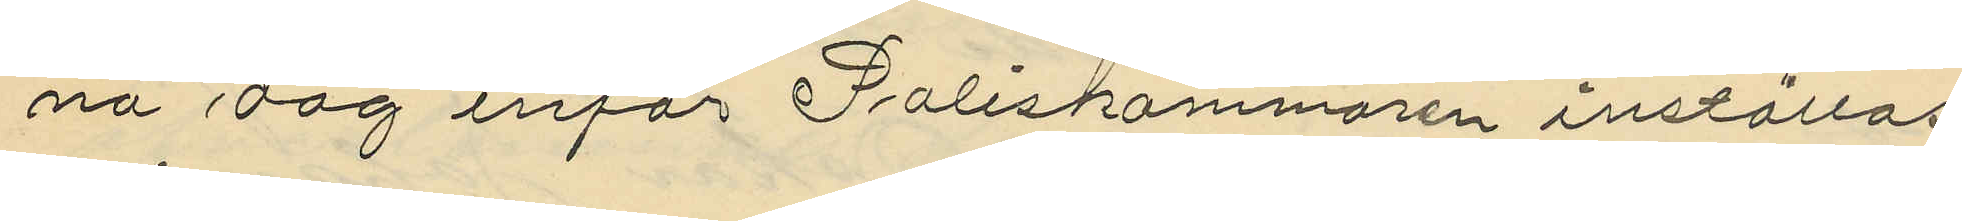na dag inför Poliskammaren inställas
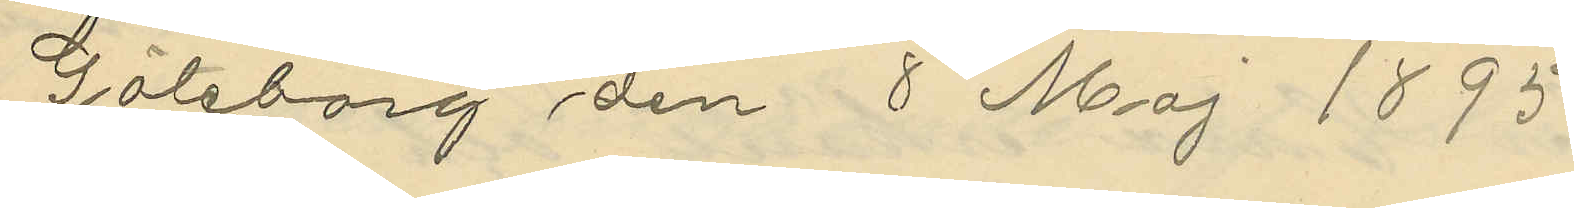Göteborg den 8 Maj 1895.
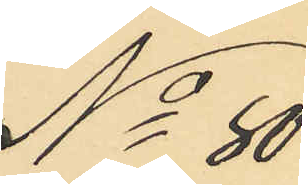No 80
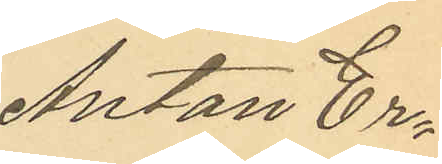Anton Er¬
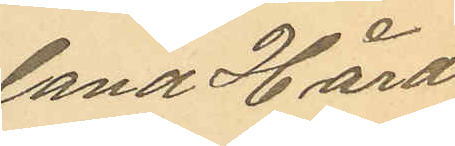land Hård
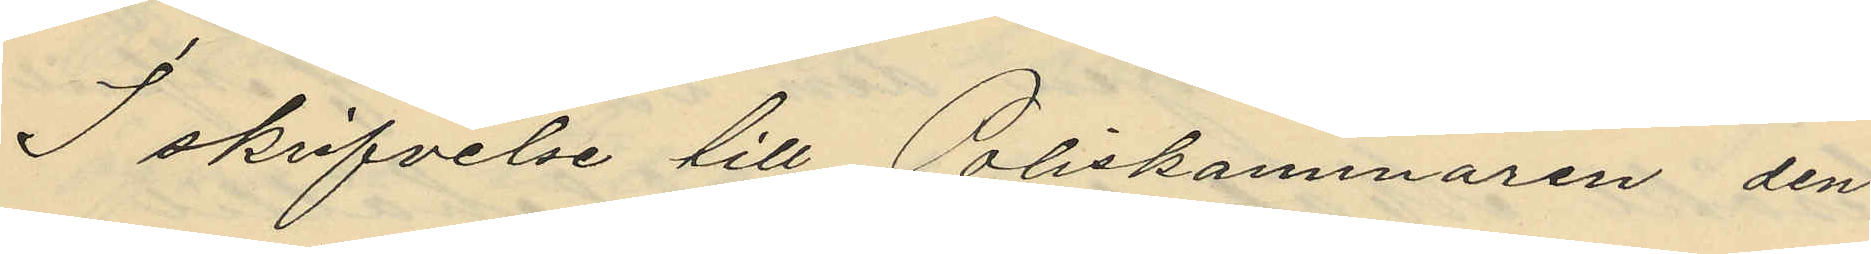I skrifvelse till Poliskammaren den
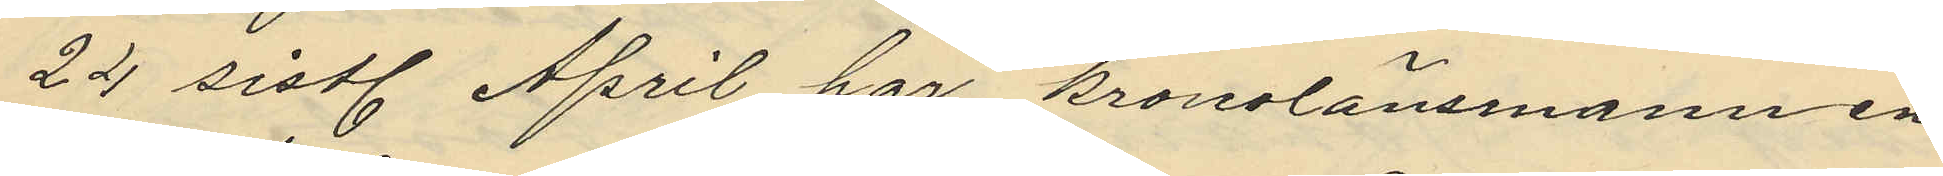22 sistl. April har kronolänsmannen
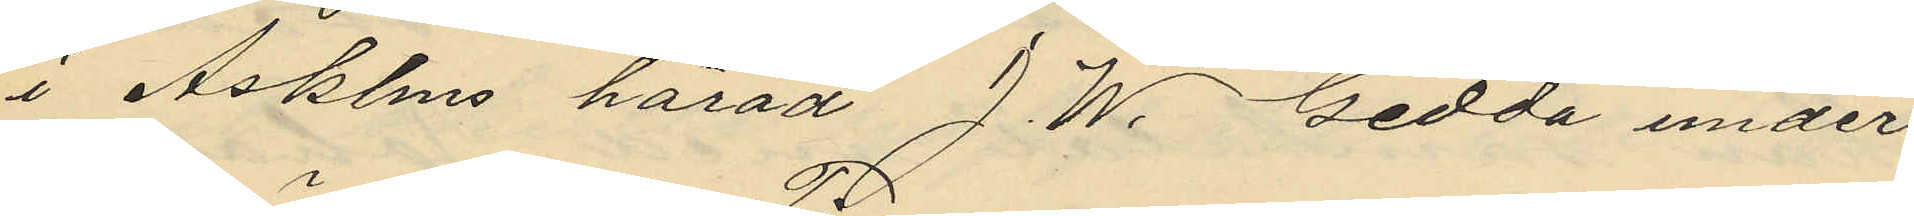i Askims härad J. W. Gedda under
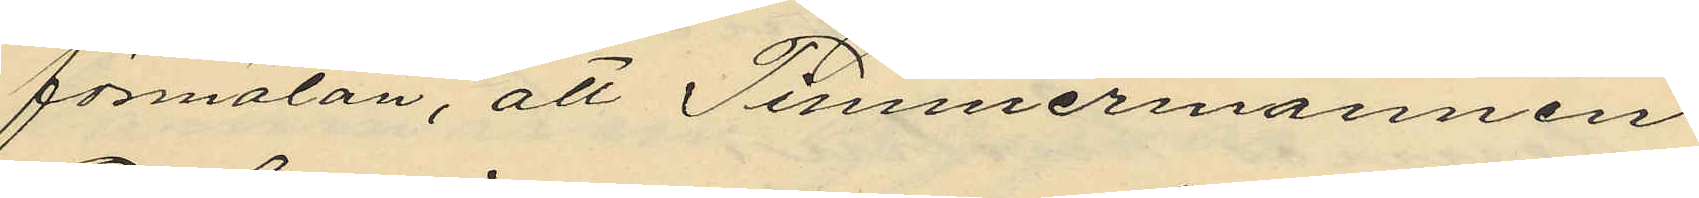förmälan, att Timmermannen
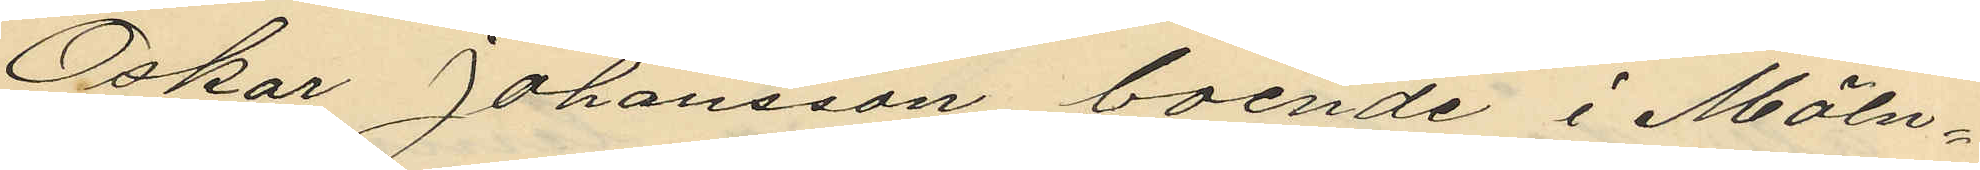Oskar Johansson boende i Möln¬
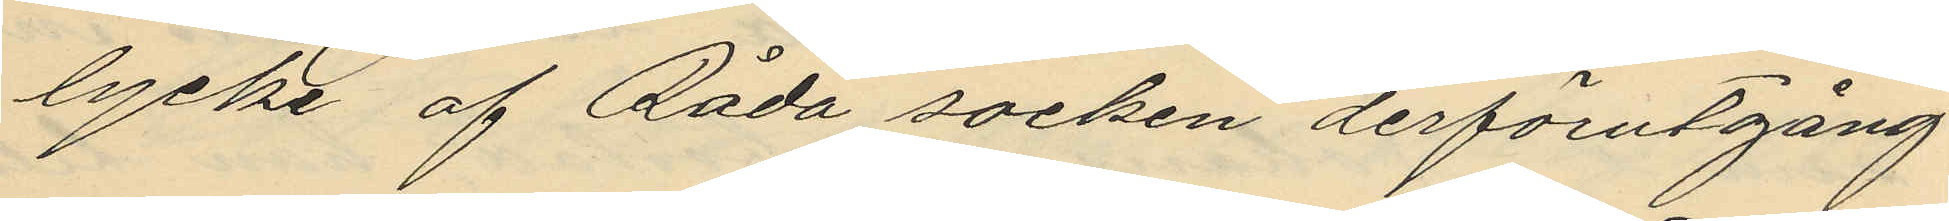lycke af Råda socken derförutgång¬
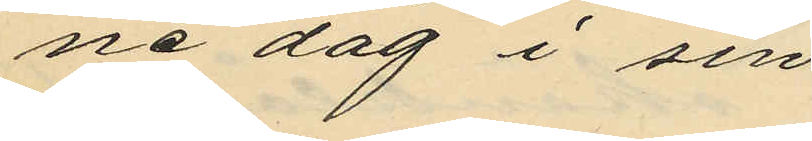ne dag i sin
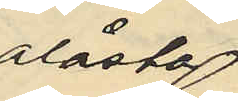olåsta
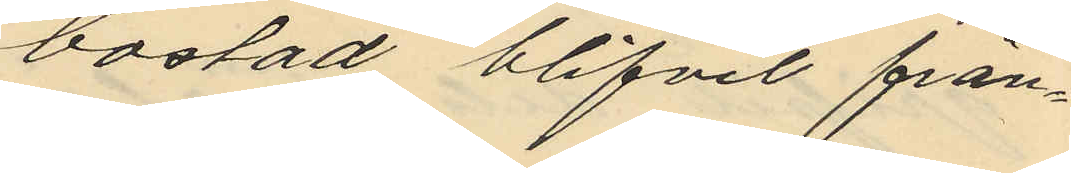bostad blifvit från¬
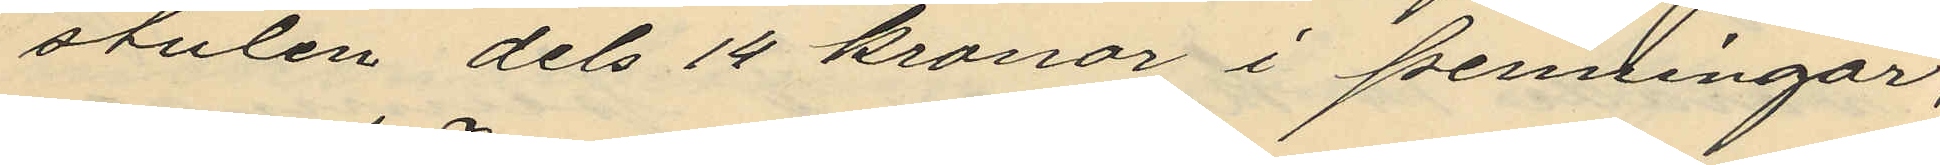stulen dels 14 kronor i penningar;
